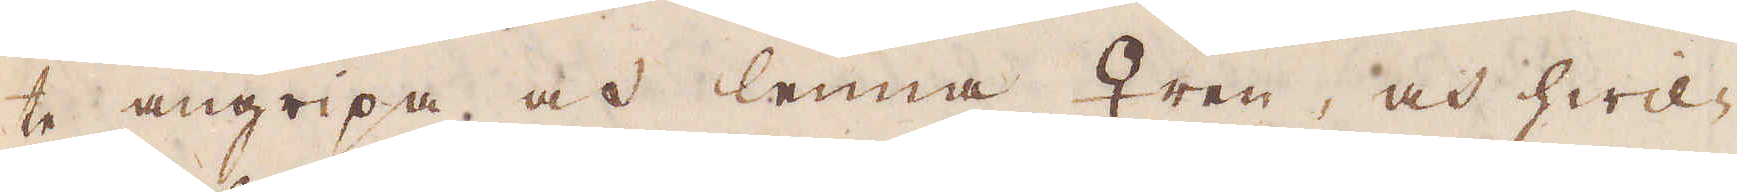te angripa och lemna ♀ren, och hwil-
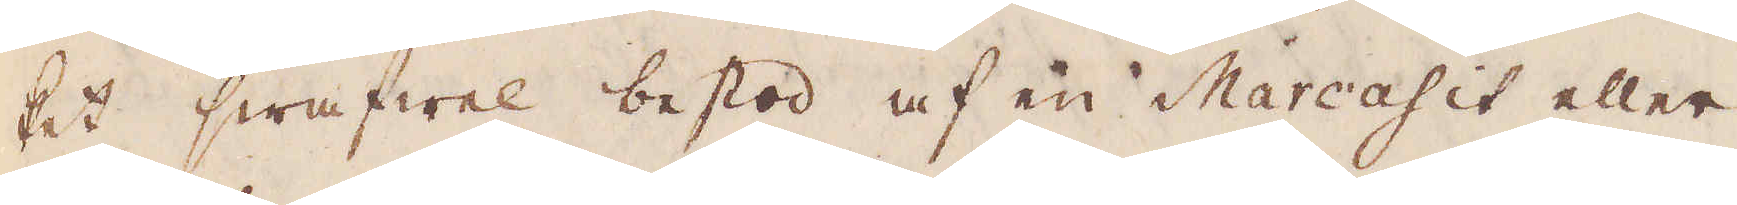ket swafwel bestod af en Marcasit eller
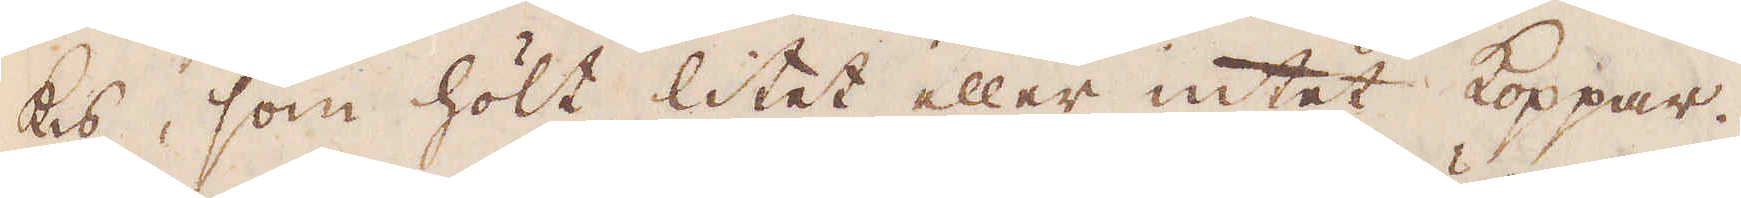kis, som hölt litet eller intet koppar.
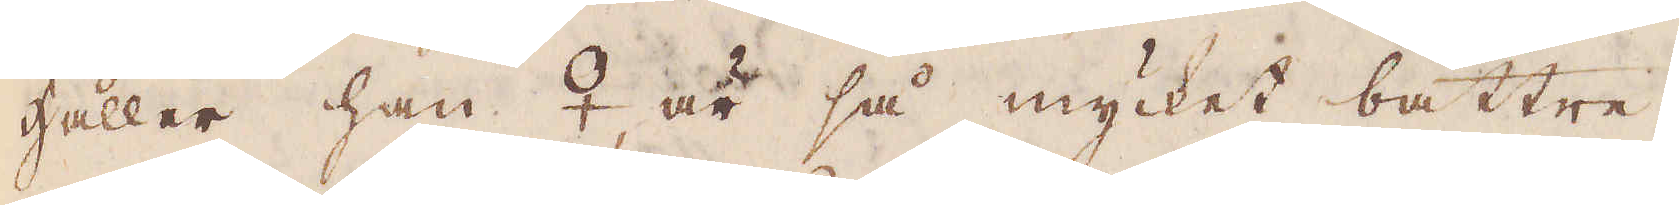Håller han ♀, är så mycket bättre,
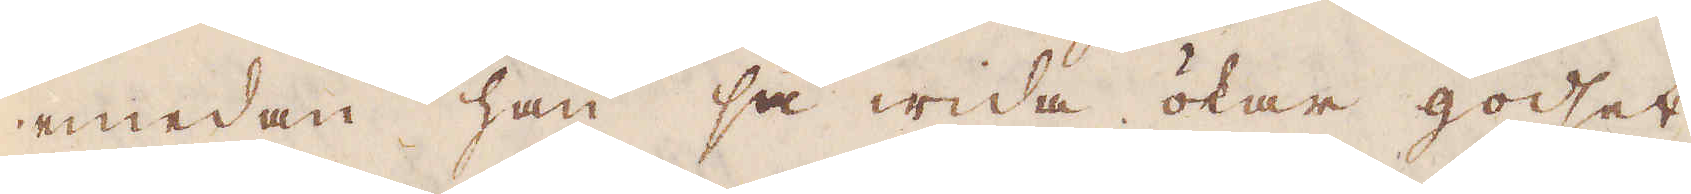emedan han så wida ökar godhet
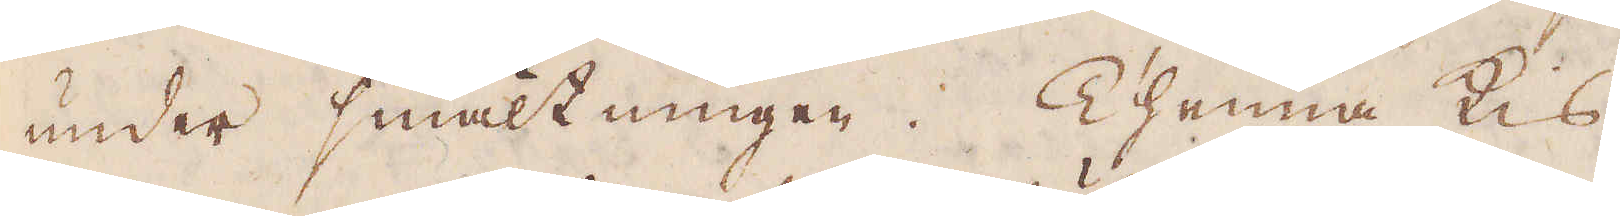under smältningen. Thenna kis
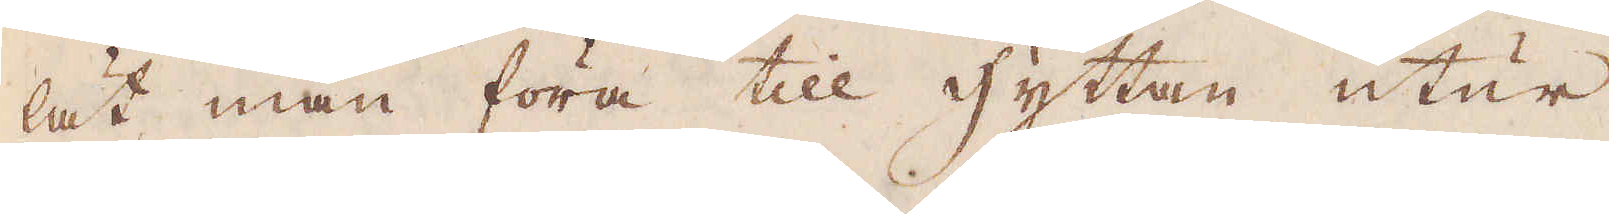lät man föra till hyttan utur
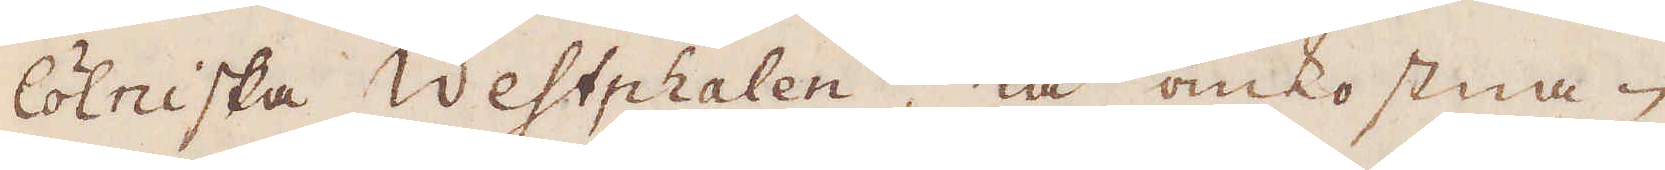Colniska Westphalen, tå omkostna-
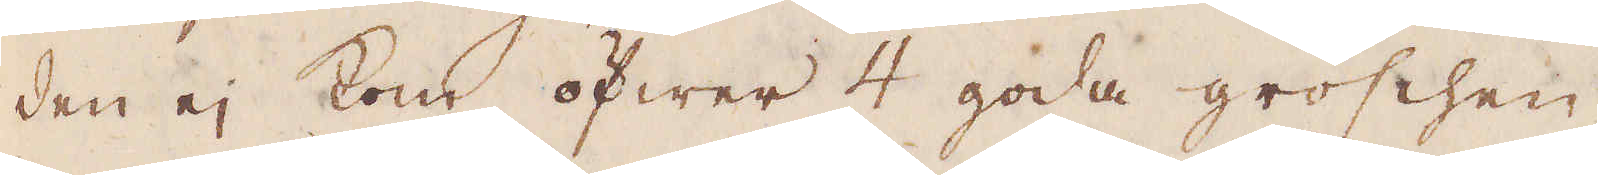den ej kom öfwer 4 goda groschen.
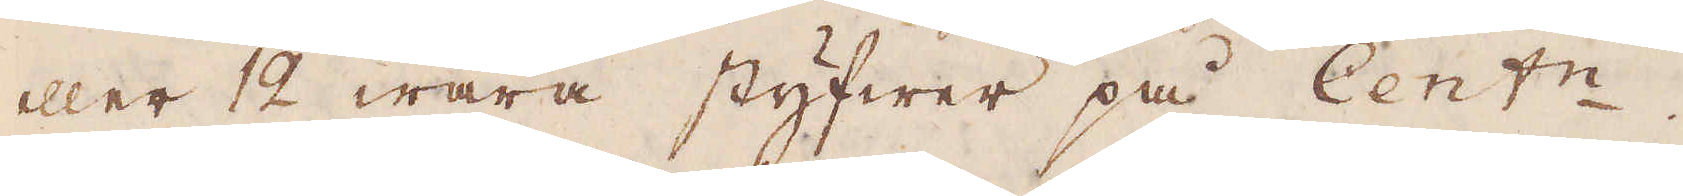eller 12 wåra styfwer på Cent:n.
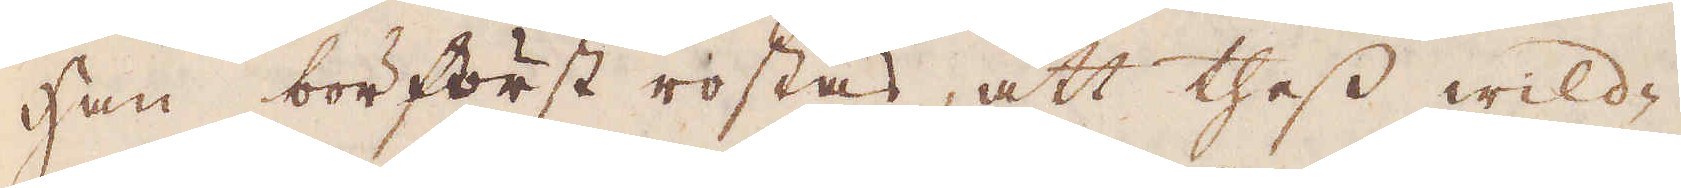Han bör först rostas, att thess wild-
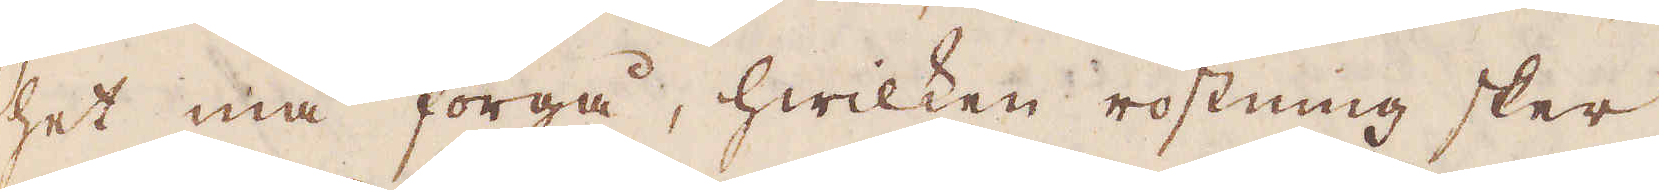het må förgå, hwilken rostning sker,
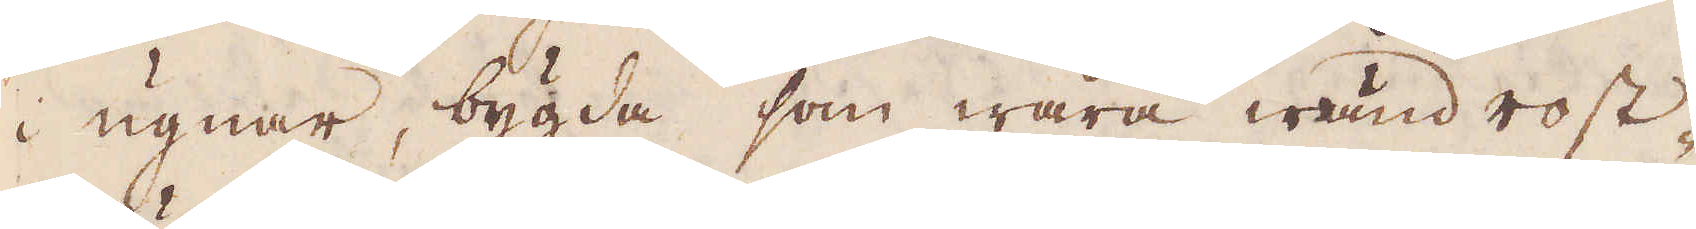i ugnar, bygda som wåra wänd rost-
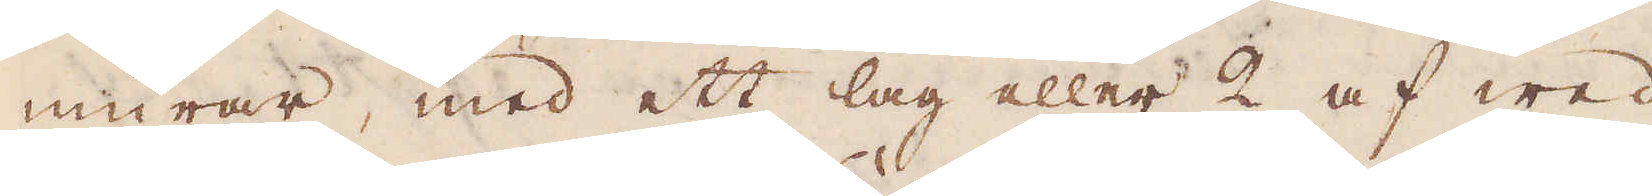murar, med ett lag eller 2 af wed
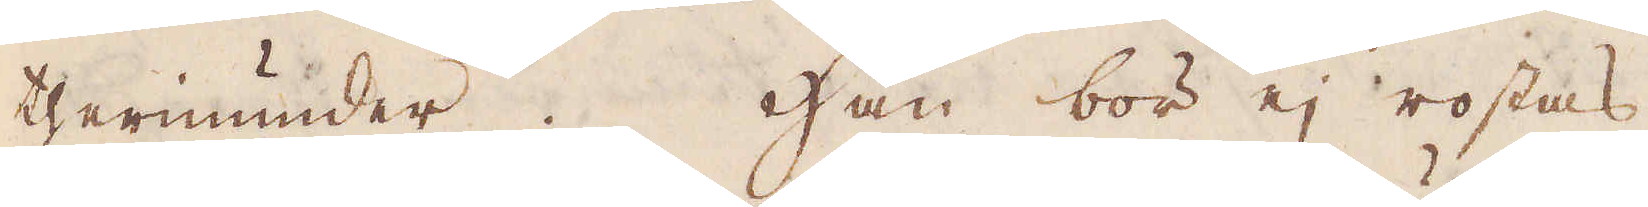therinunder. Han bör ej rostas
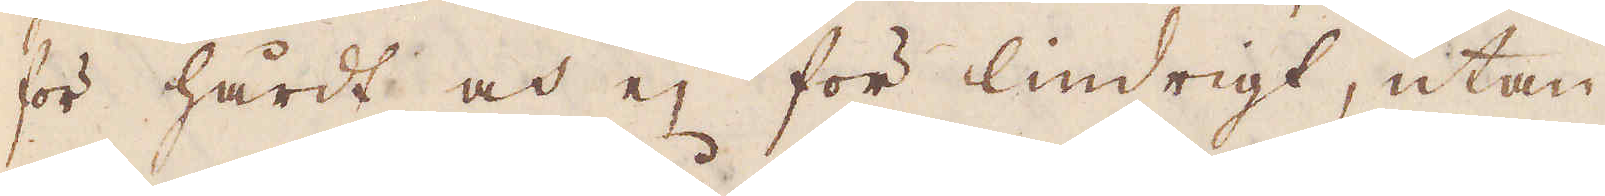för hårdt och ej för lindrigt, utan
